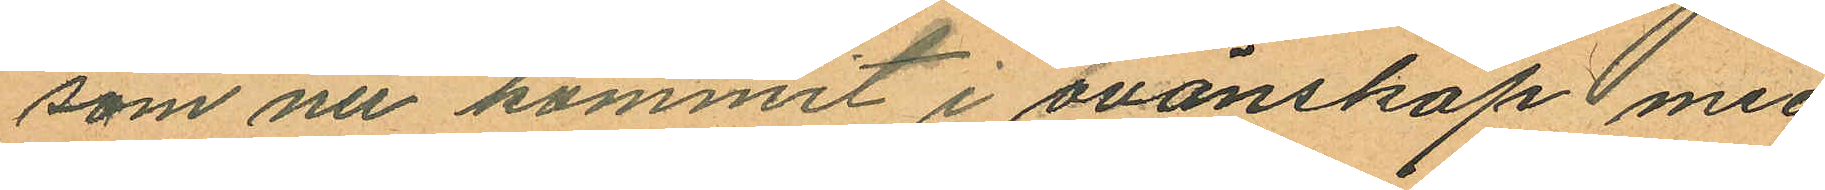som nu kommit i ovänskap med
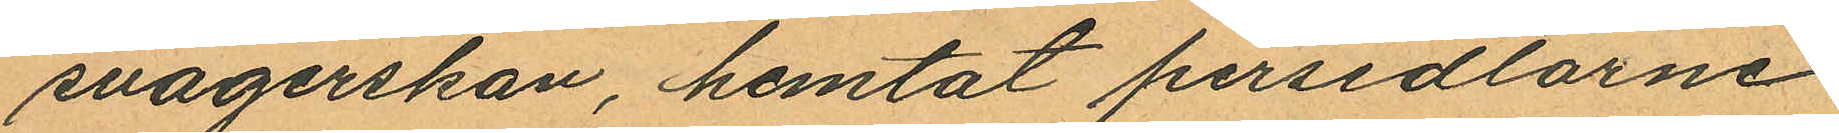svägerskan, hemtat persedlarne
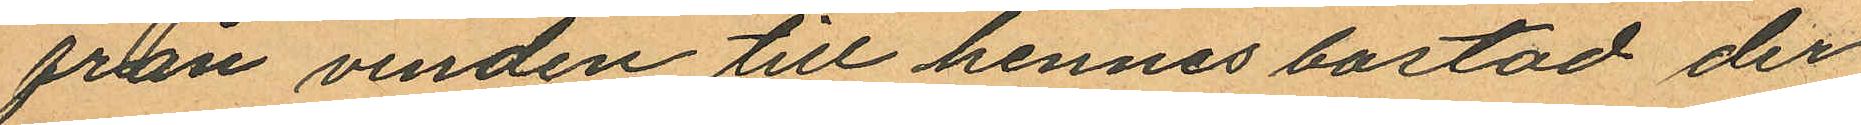från vinden till hennes bostad der
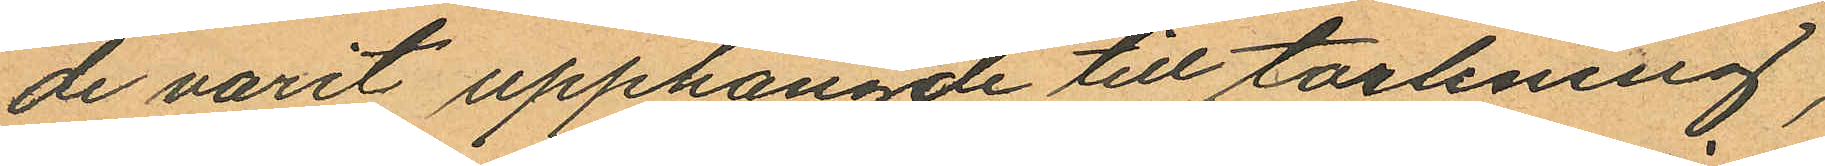de varit upphängde till torkning;
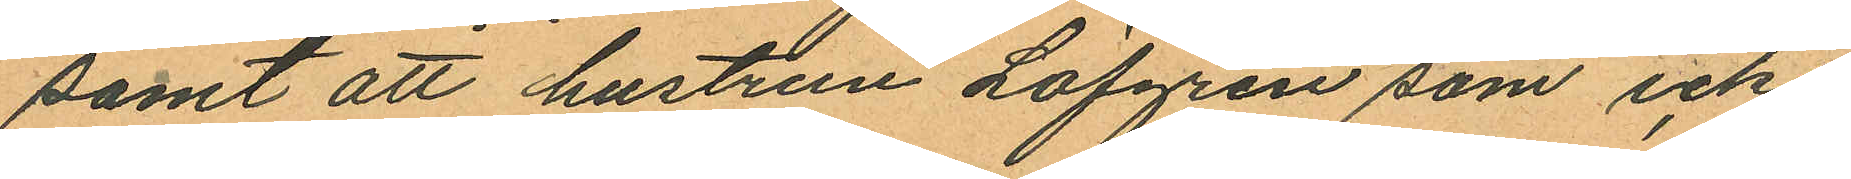samt att hustrun Löfgren som icke
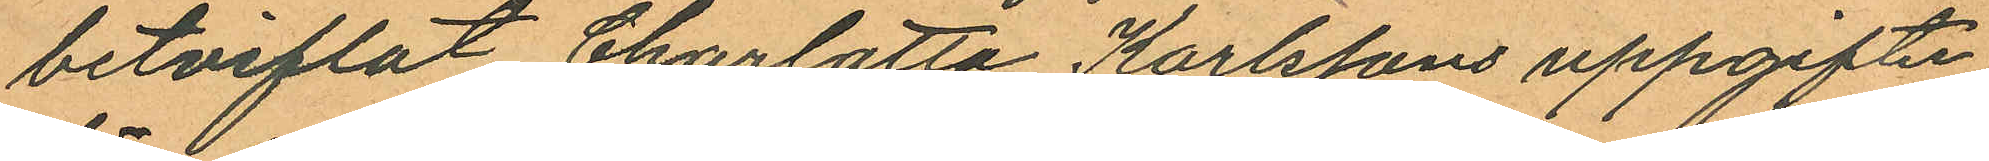betviflat Charlotta Karlssons uppgifter
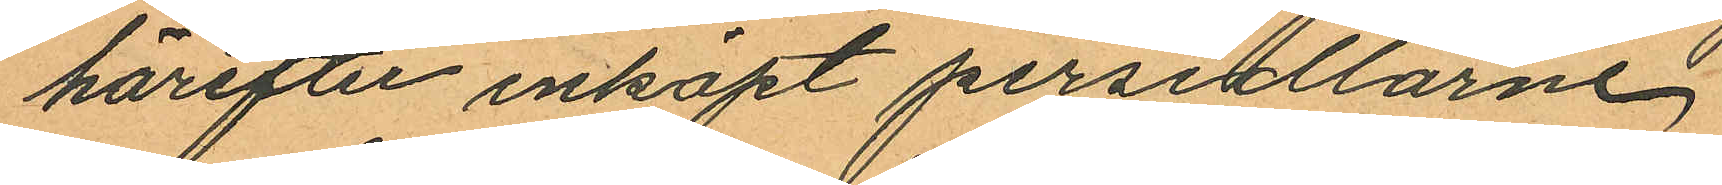härefter inköpt persedlarne.
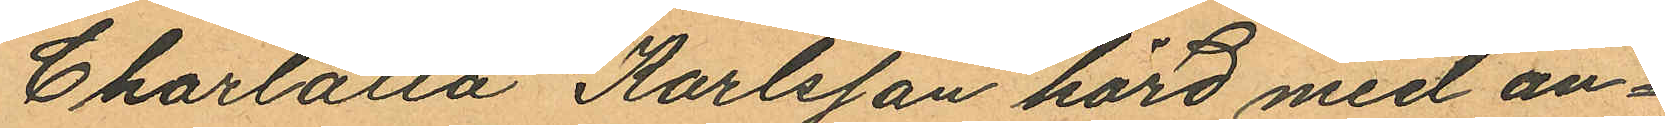Charlotta Karlsson hörd med an¬
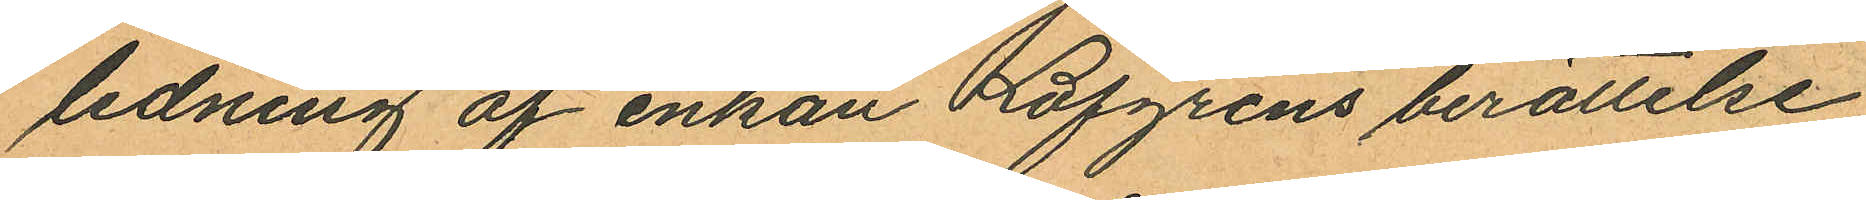ledning af enkan Löfgrens berättelse
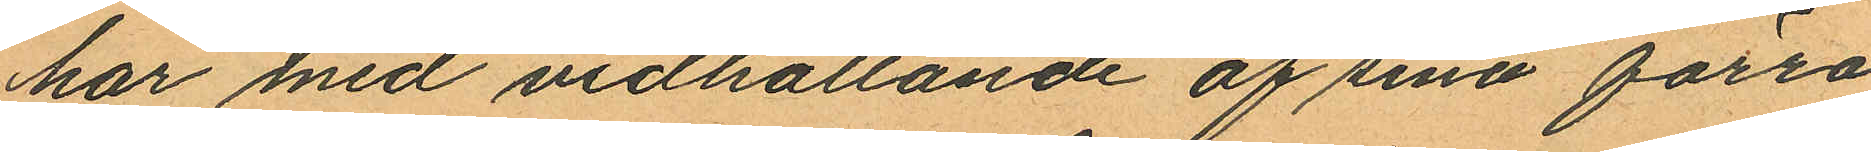har med vidhållande af sina förra
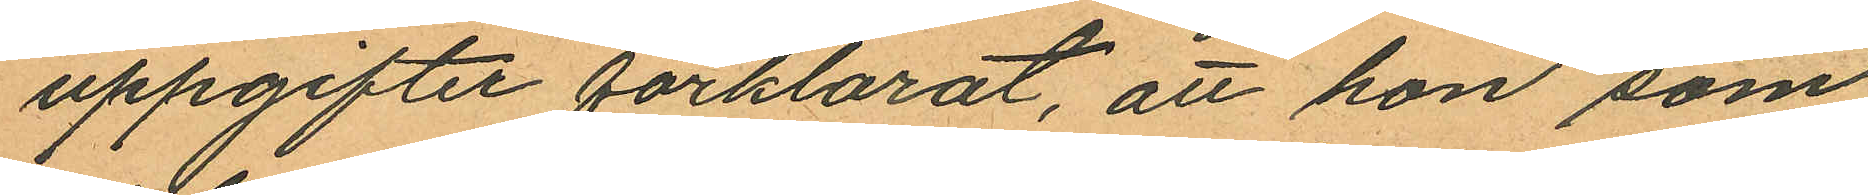uppgifter förklarat, att hon som
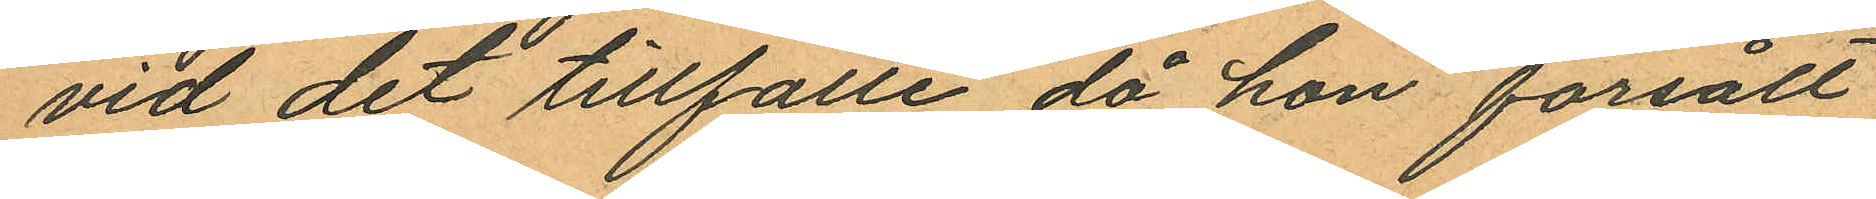vid det tillfälle då hon försålt
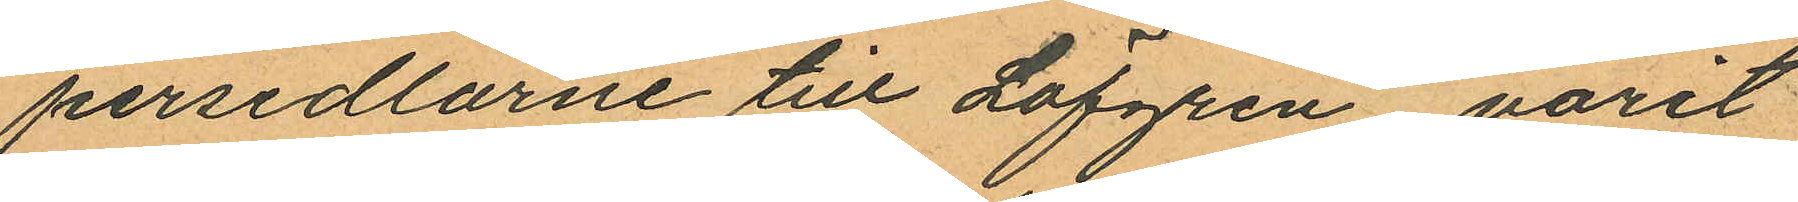persedlarne till Löfgren varit
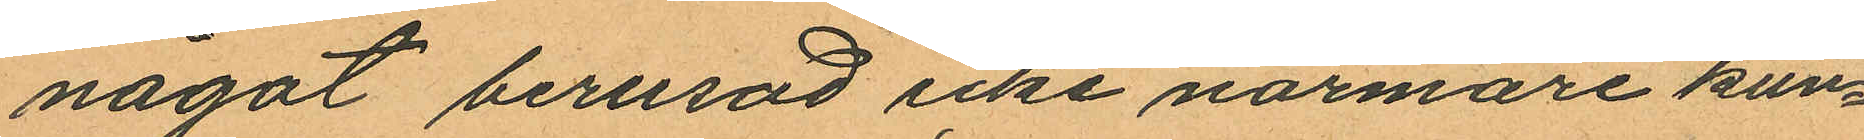något berusad icke närmare kun¬
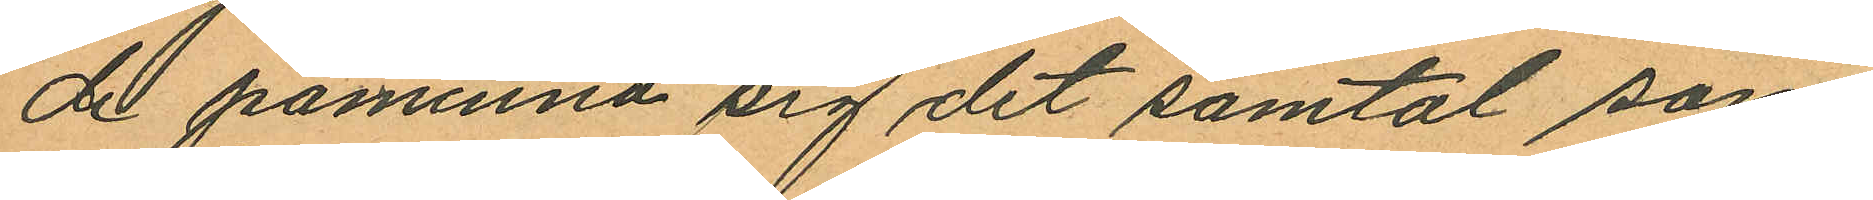de påminna sig det samtal som
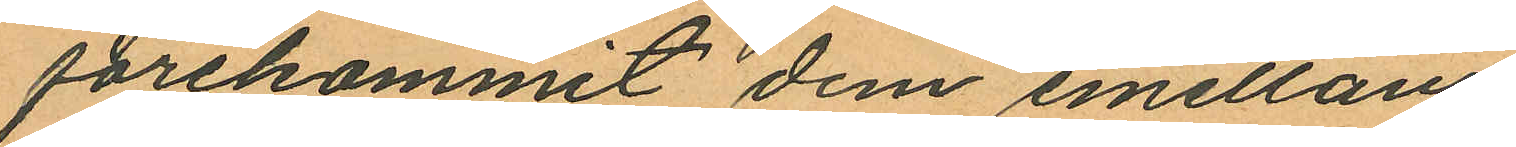förekommit dem emellan.
